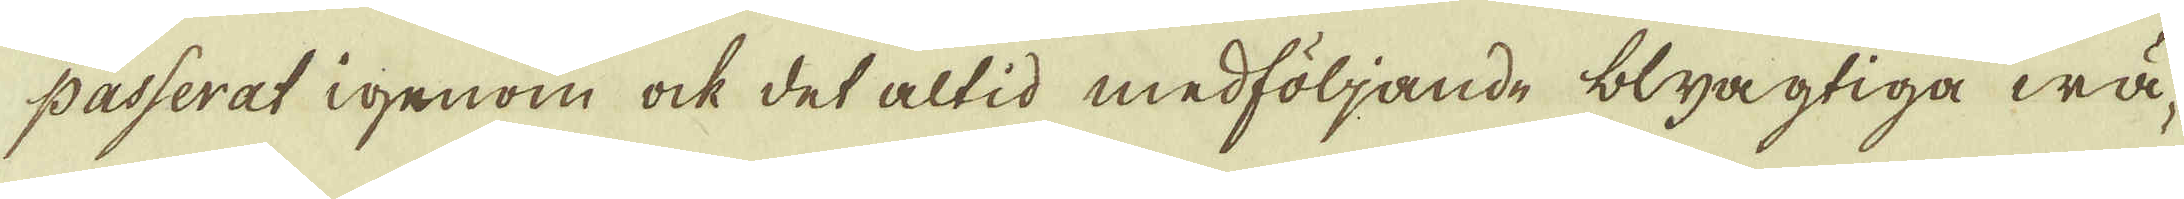passerat igenom ock det altid medföljande blyagtiga wä-
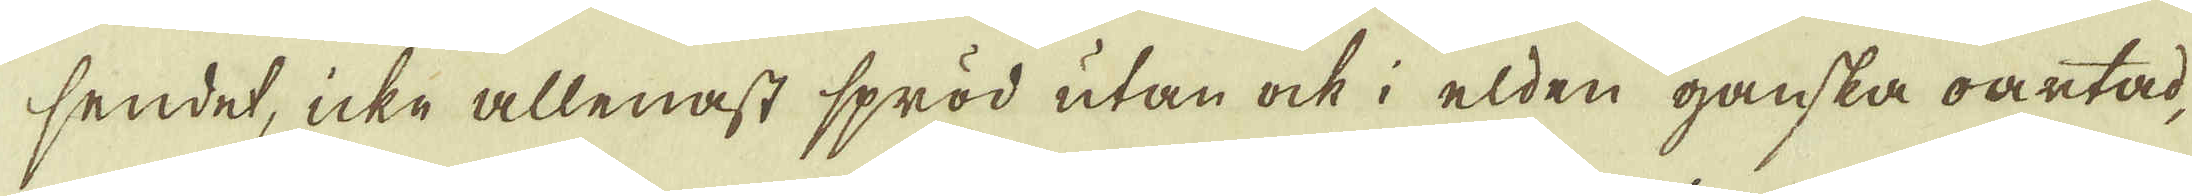sendet, icke allenast spröd utan ock i elden ganska oartad,
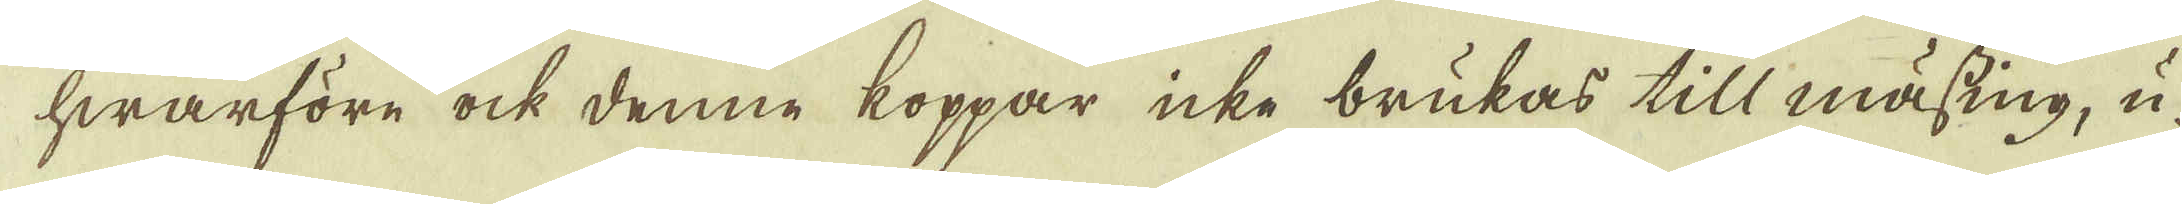hwarföre ock denne koppar icke brukas till mässing, u-
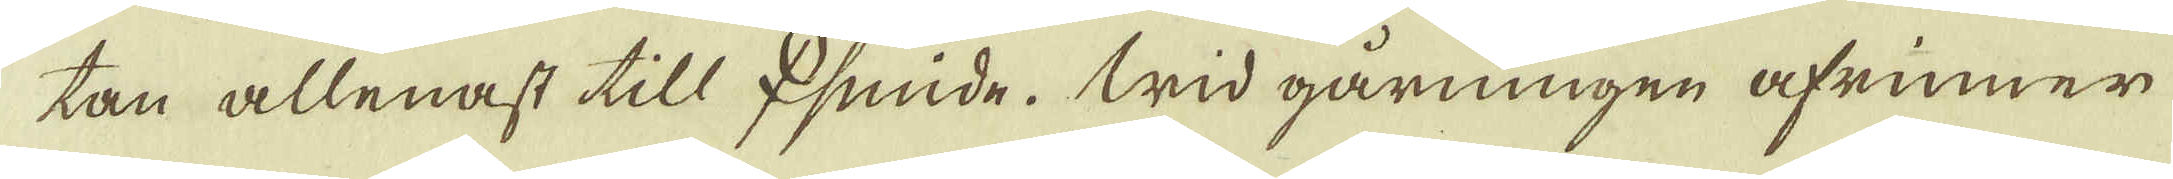tan allenast till ♀smide. Wid gårningen afrinner
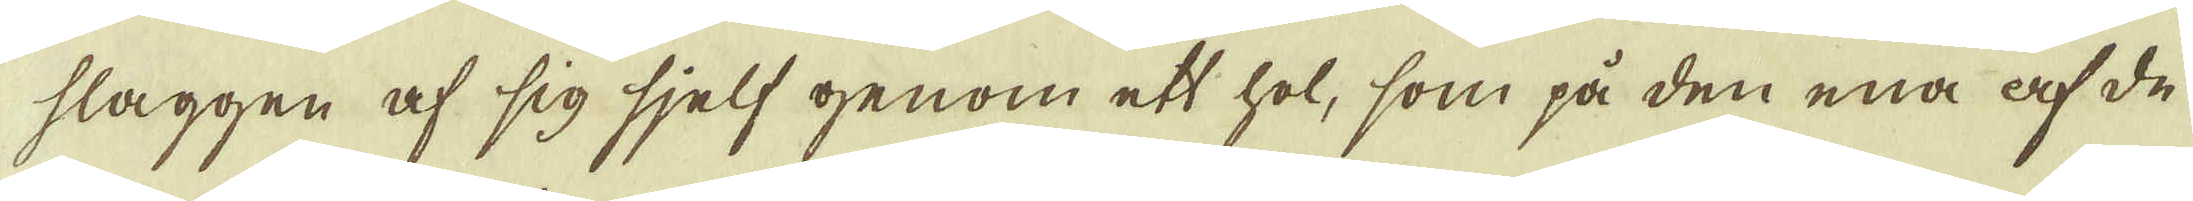slaggen af sig sjelf genom ett hol, som på den ena af de
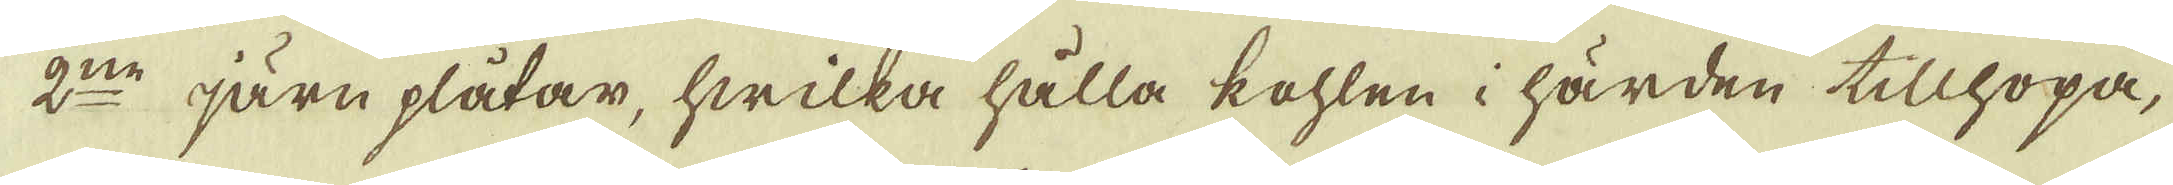2:ne järn plåtar, hwilka hålla kohlen i härden tillhopa,
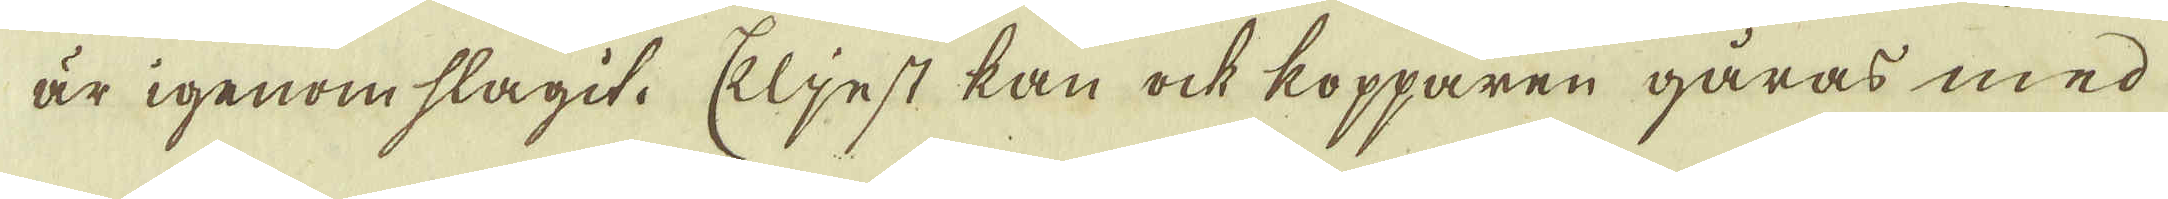är igenom slagit. Eljest kan ock kopparen gåras med
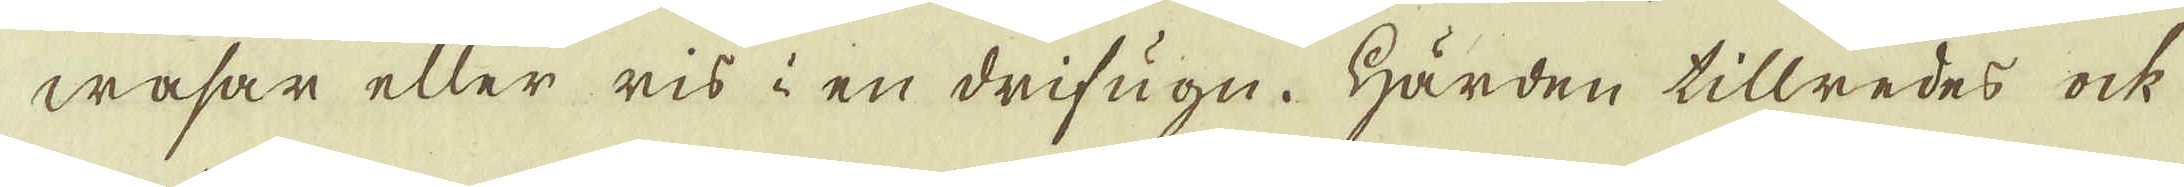wasar eller ris i en drifugn. Härden tillredes ock
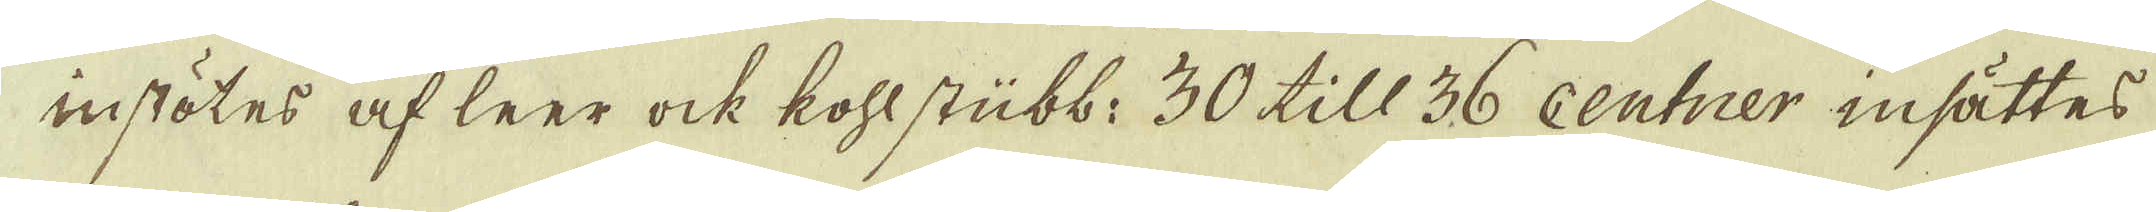instötes af leer ock kohlstübb: 30 till 36 centner insättes
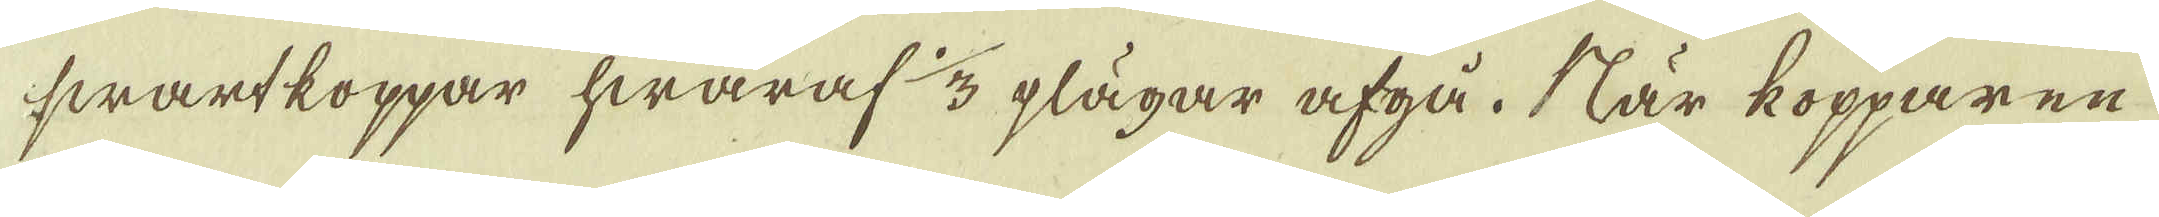swartkoppar hwaraf 1/3 plägar afgå. När kopparen
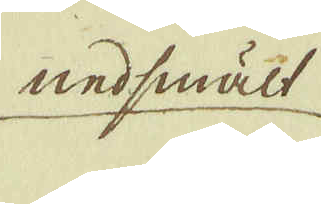nedsmält
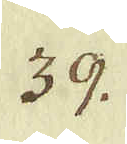39.
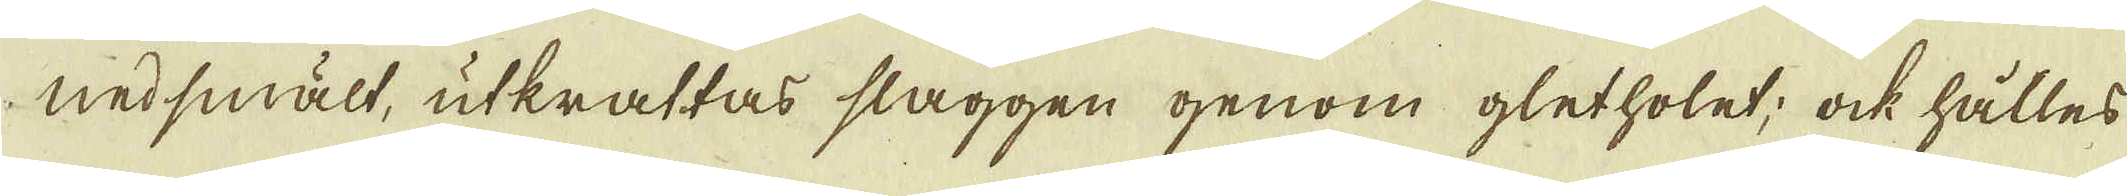nedsmält, utkrattas slaggen genom gletholet; ock hålles
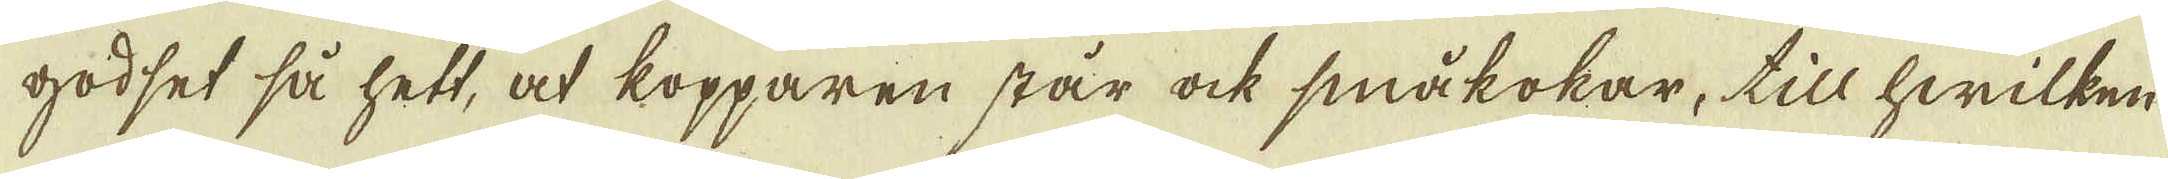godset så hett, at kopparen står ock småkokar, till hwilken
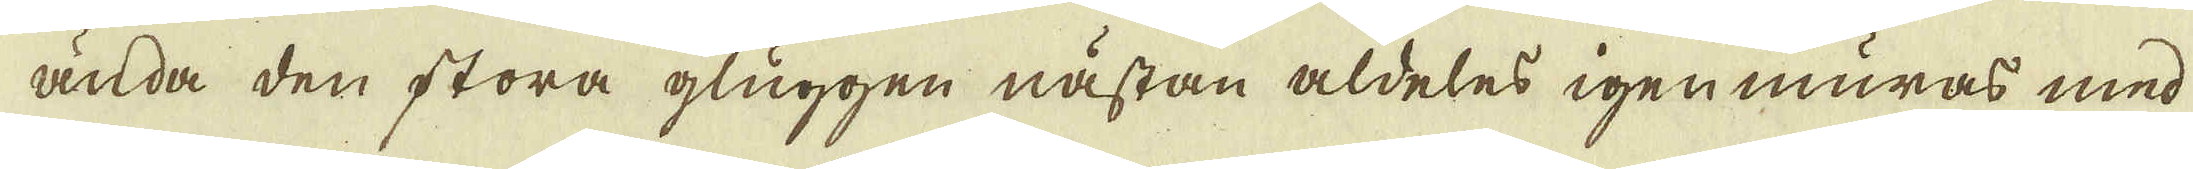ända den stora gluggen nästan aldeles igenmuras med
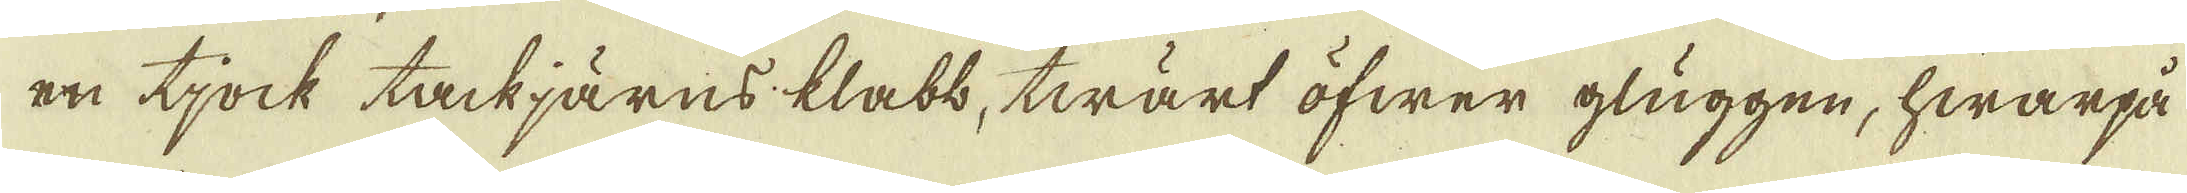en tjock tackjärns klabb, twärt öfwer gluggen, hwarpå
